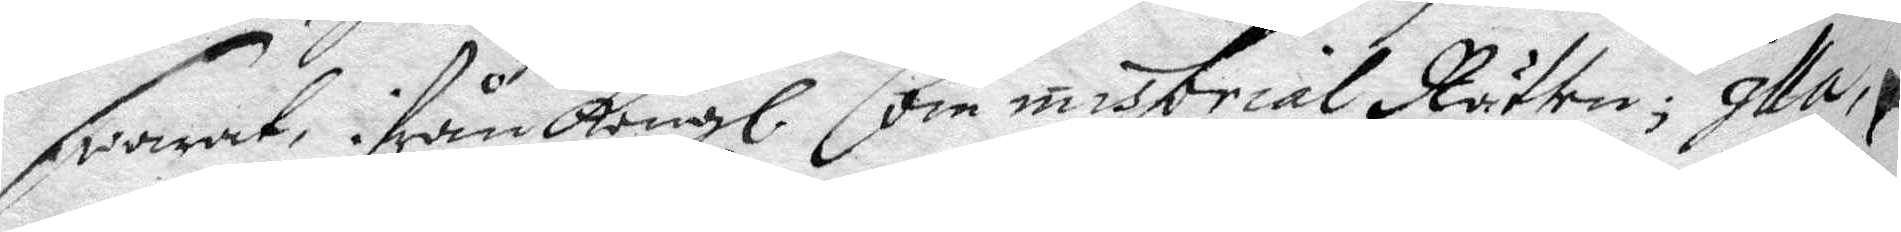swarat, ifrån Kongl. Commissorial Rätten; Illa,
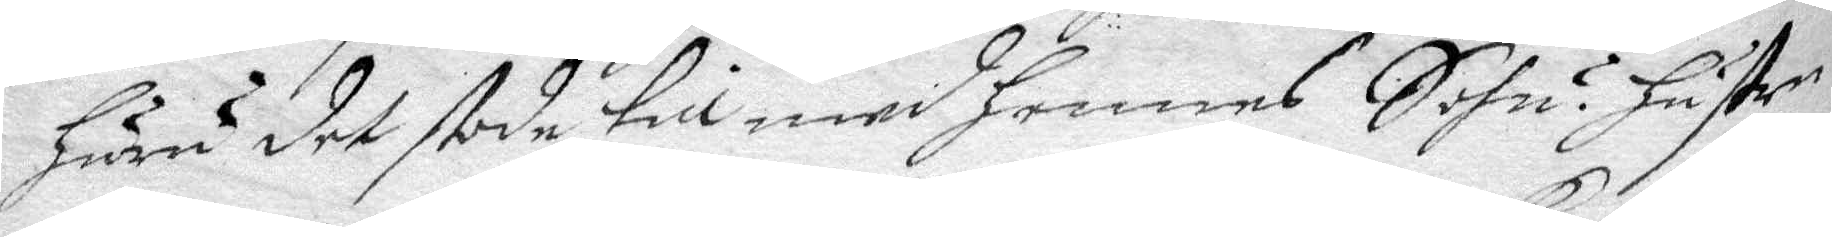huru det stode till med hennes Sohn? hustru
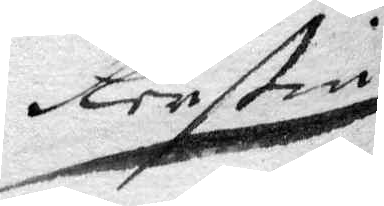Kerstin
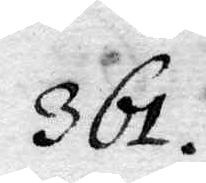361.
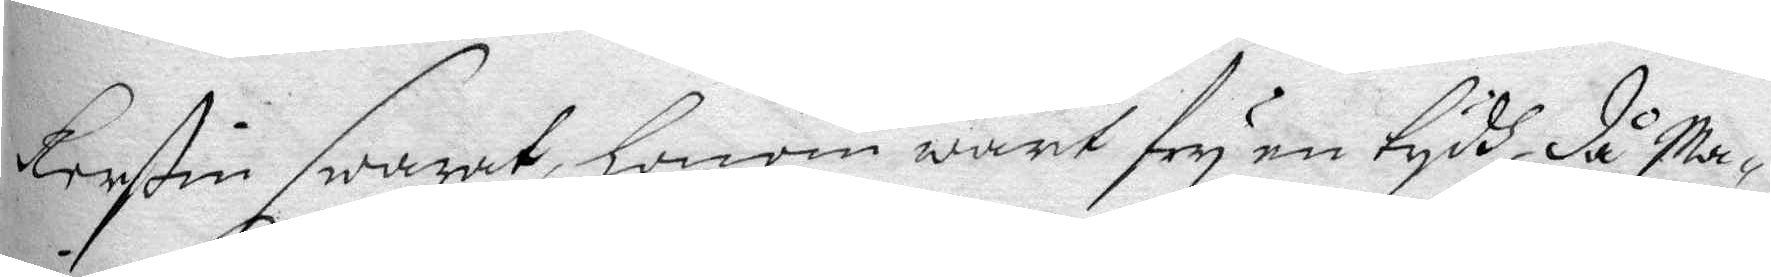Kerstin swarat, honom warit fry en tydh då Ma¬
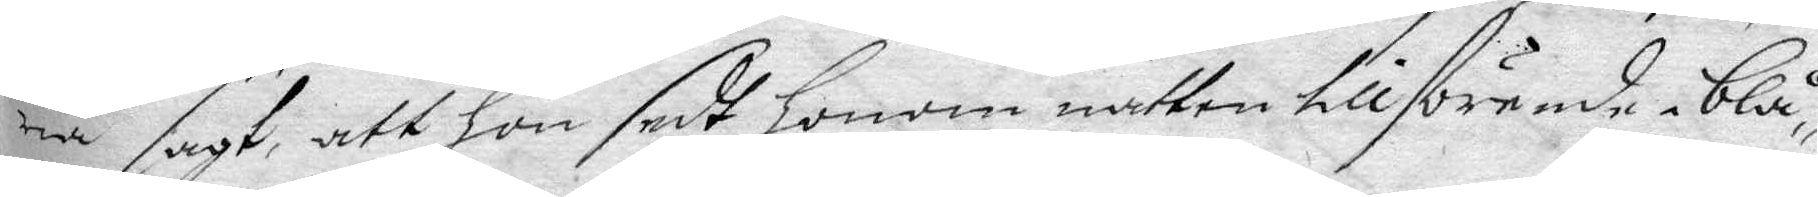ria sagt, att hon sedt honom natten tillförende i blå¬
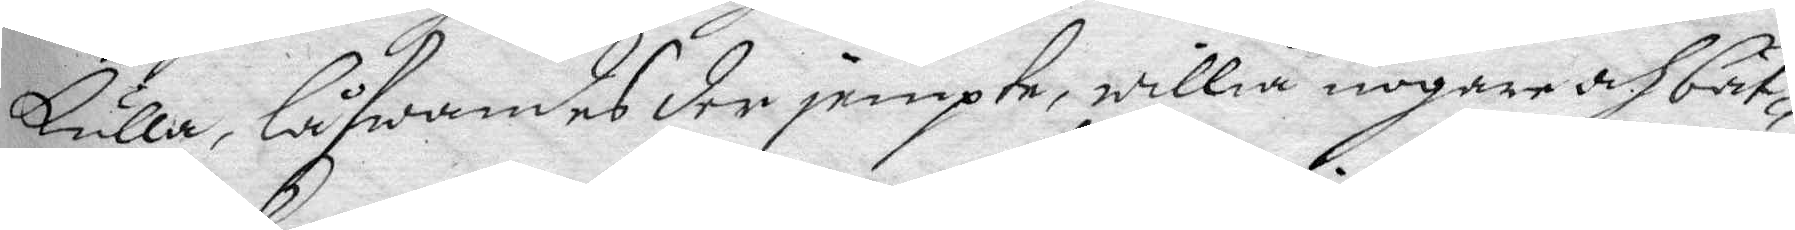kulla, låfwandes der jempte, willia nogare och bät¬
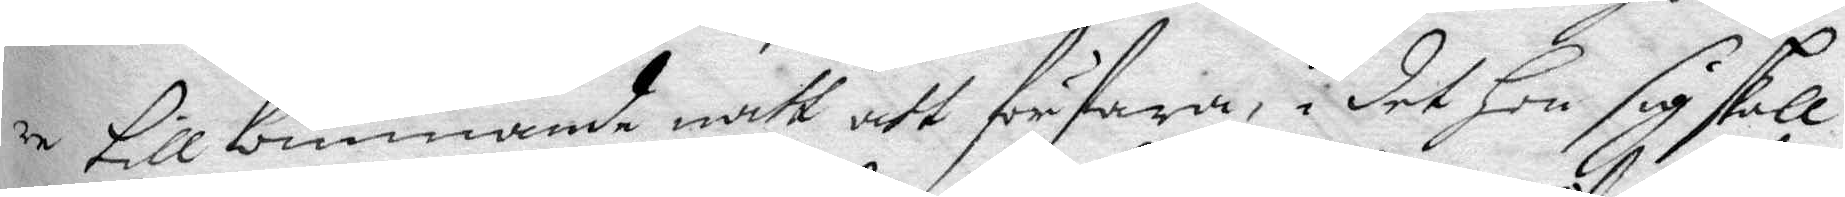re till kommande natt att förfara, i det Hon sig skall
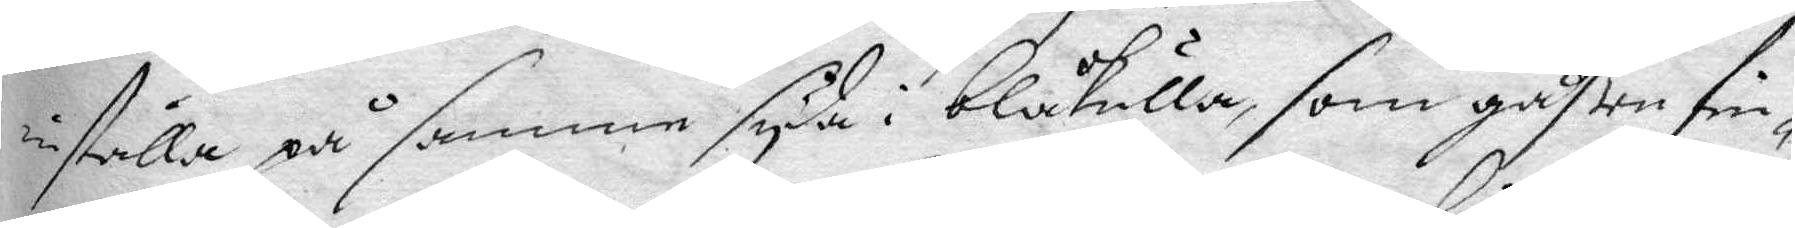inställa på samme syda i Blåkulla, som gåßen fin¬
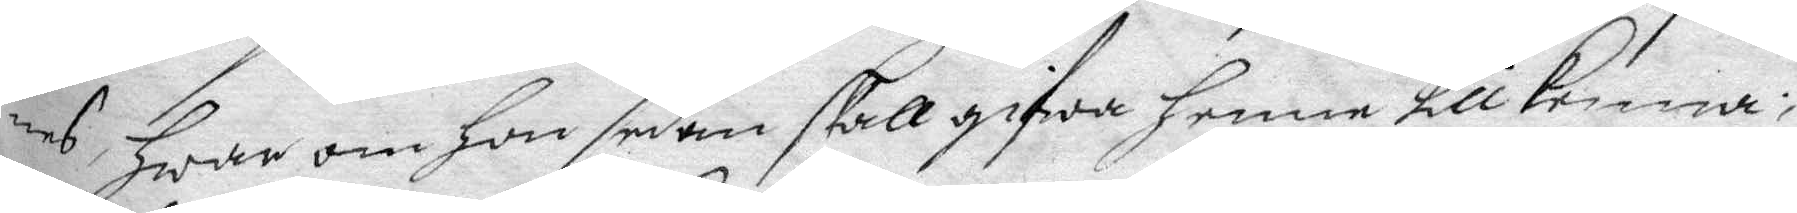nes, Hwar om hon sedan skall gifwa henne tillkenna;
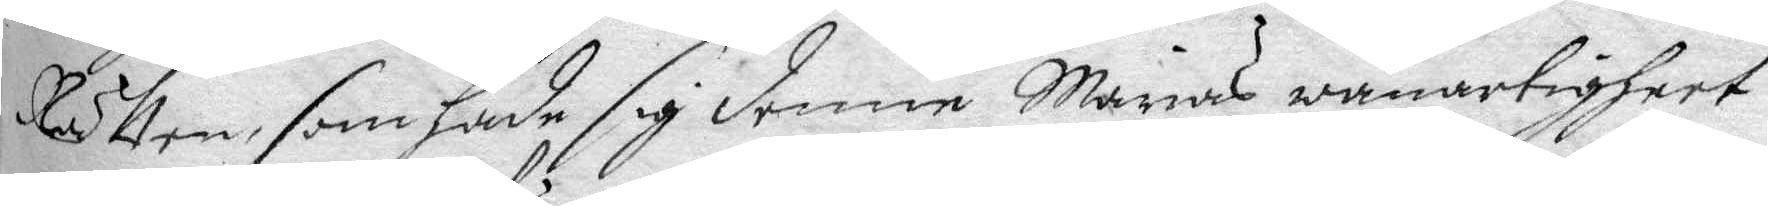Rätten, som hade sig denne Marias wanartigheet
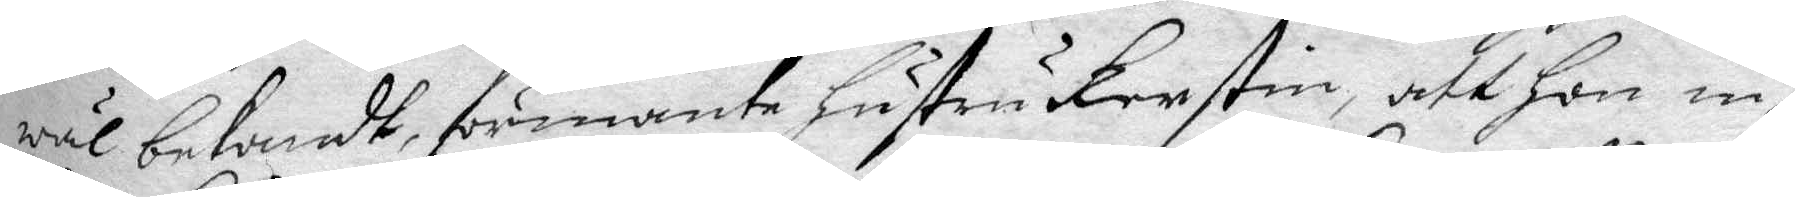wäl bekandt, förmante hustru Kerstin, att hon in¬
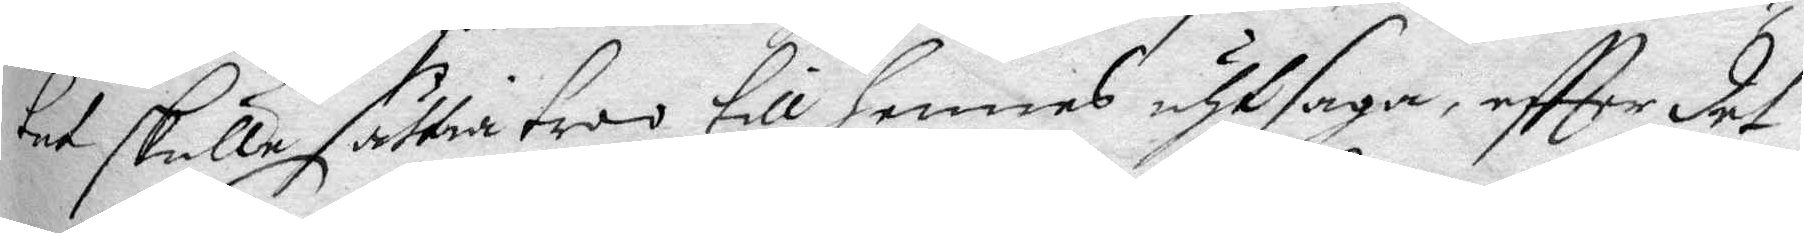tet skulle sättia troo till Hennes uthsaga, eftter det
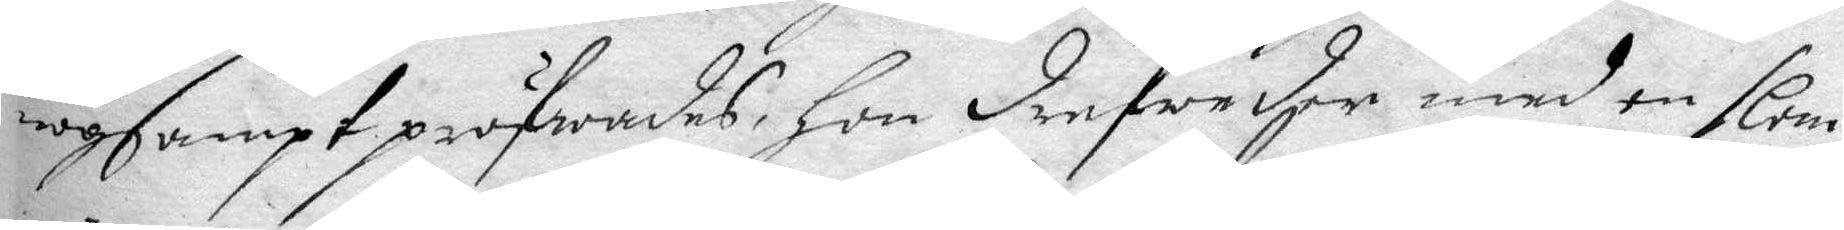nogsampt pröfwades, Hon drefweder med en slem
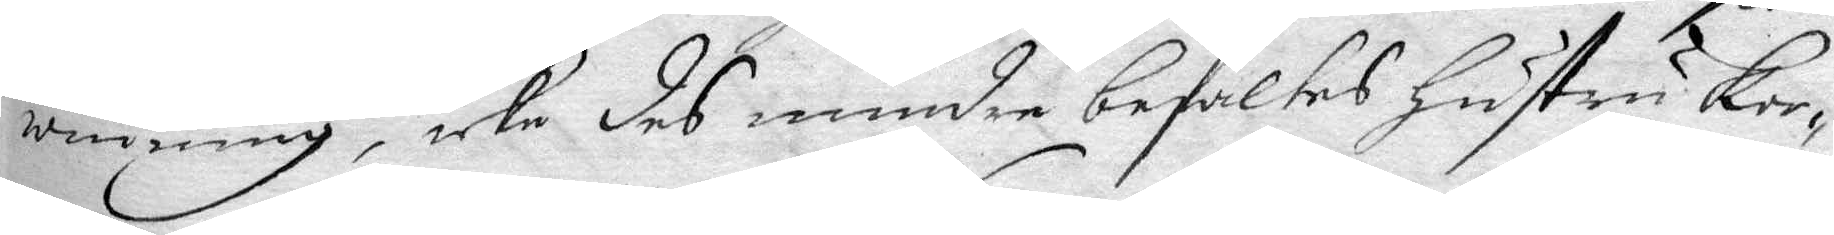winning, icke des mindre befaltes hustru Ker¬
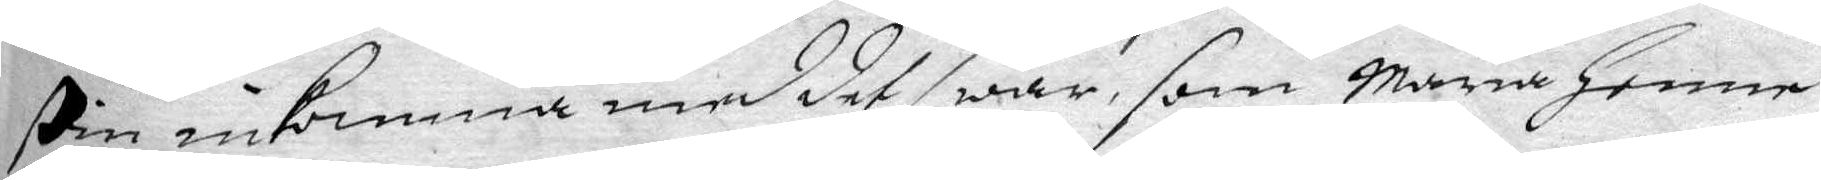stin inkomma med det swar, som Maria Henne
